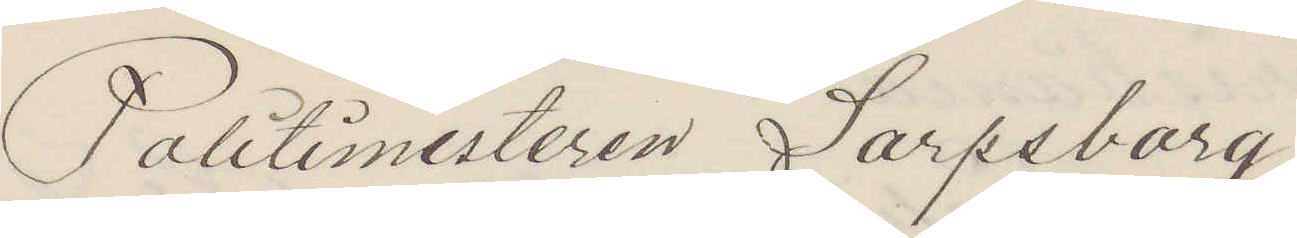Politimesteren Sarpsborg
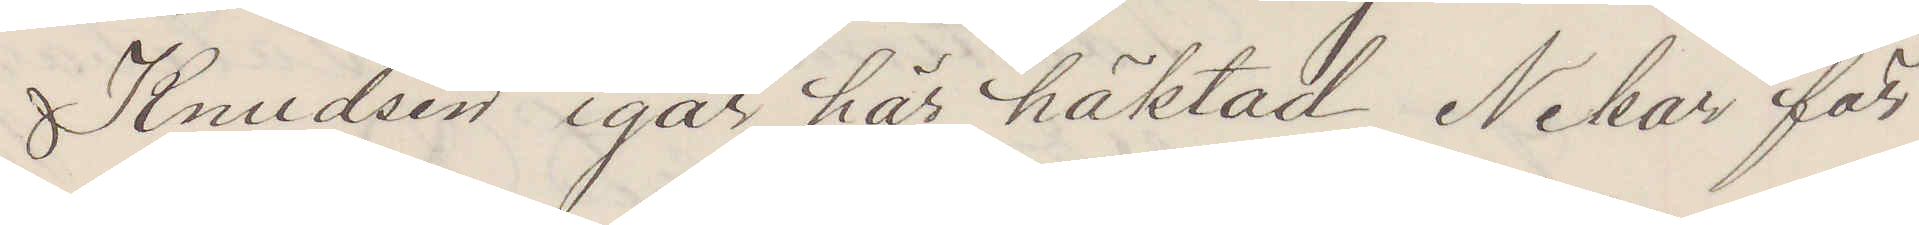Knudsen igår här häktad Nekar för
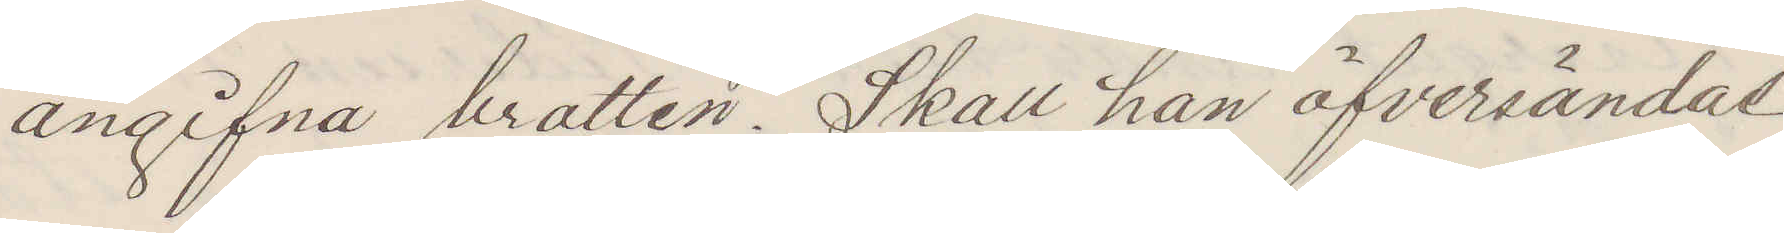angifna brotten. Skall han öfversändas
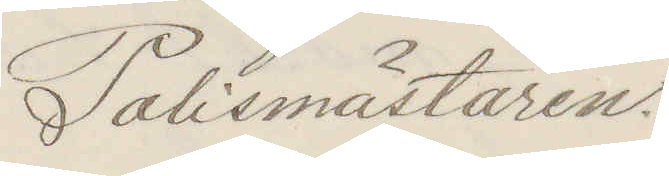Polismästaren.
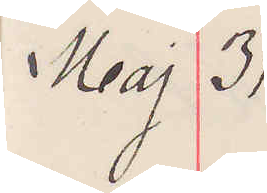Maj 31
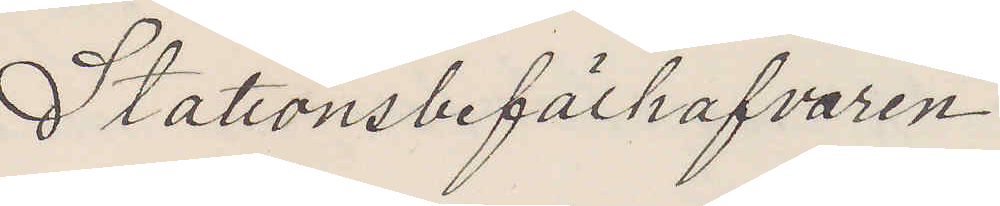Stationsbefälhafvaren
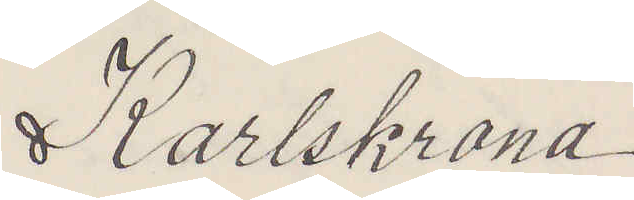Karlskrona
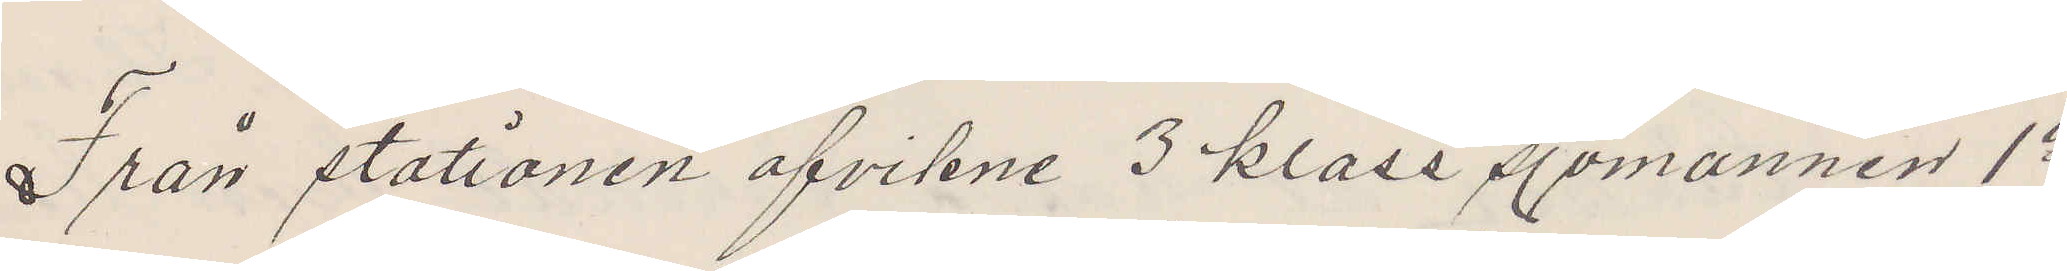Från stationen afvikne 3 klass sjömannen 1a
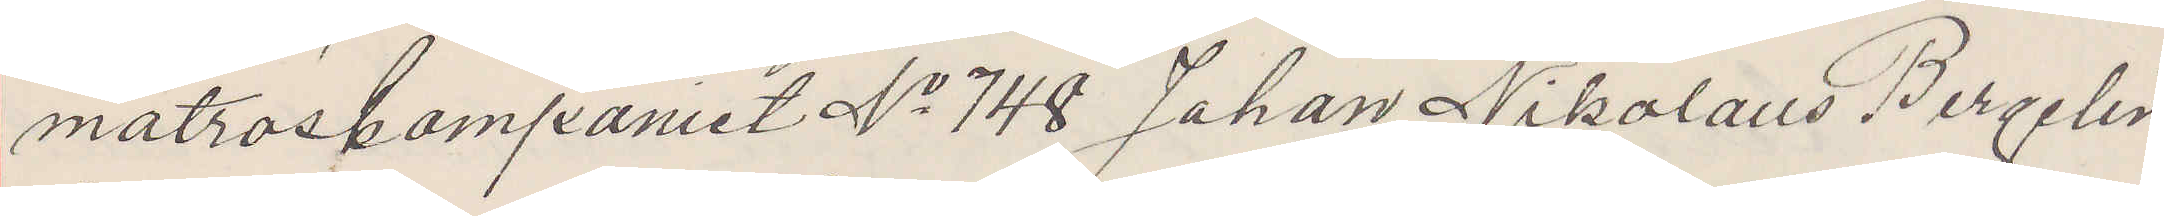matroskompaniet No 748 Johan Nikolaus Bergelin
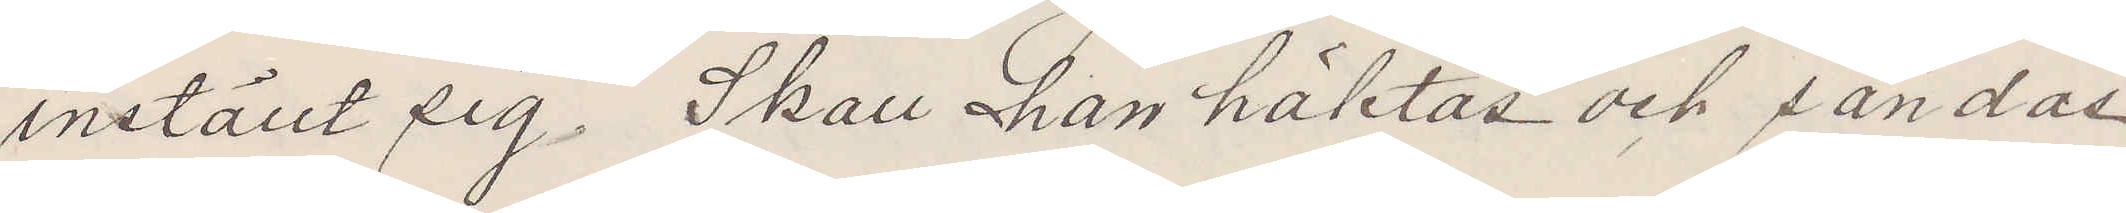inställt sig Skall han häktas och sändas
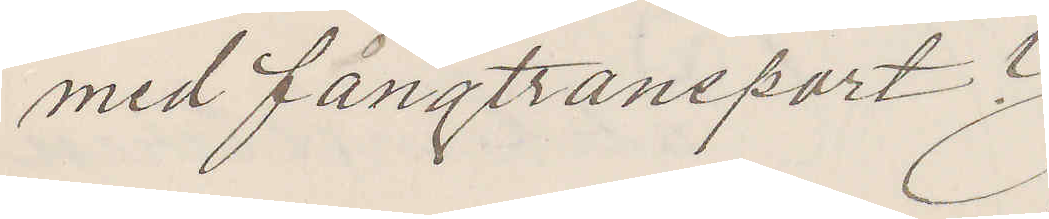med fångtransport?
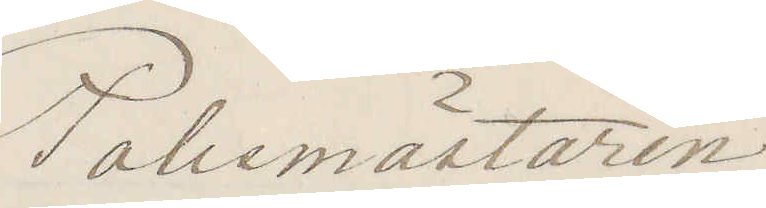Polismästaren
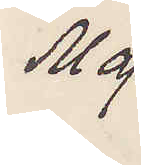Maj
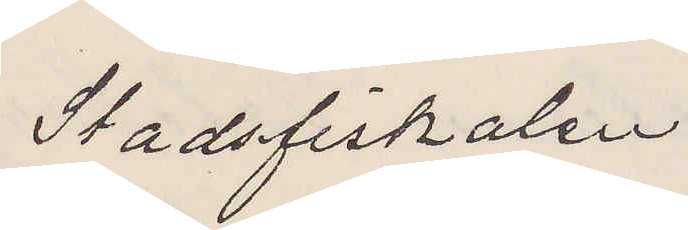Stadsfiskalen
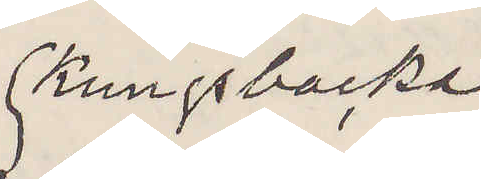Kungsbacka
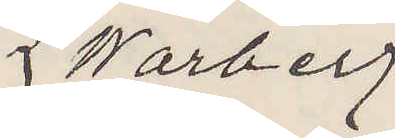Warberg
